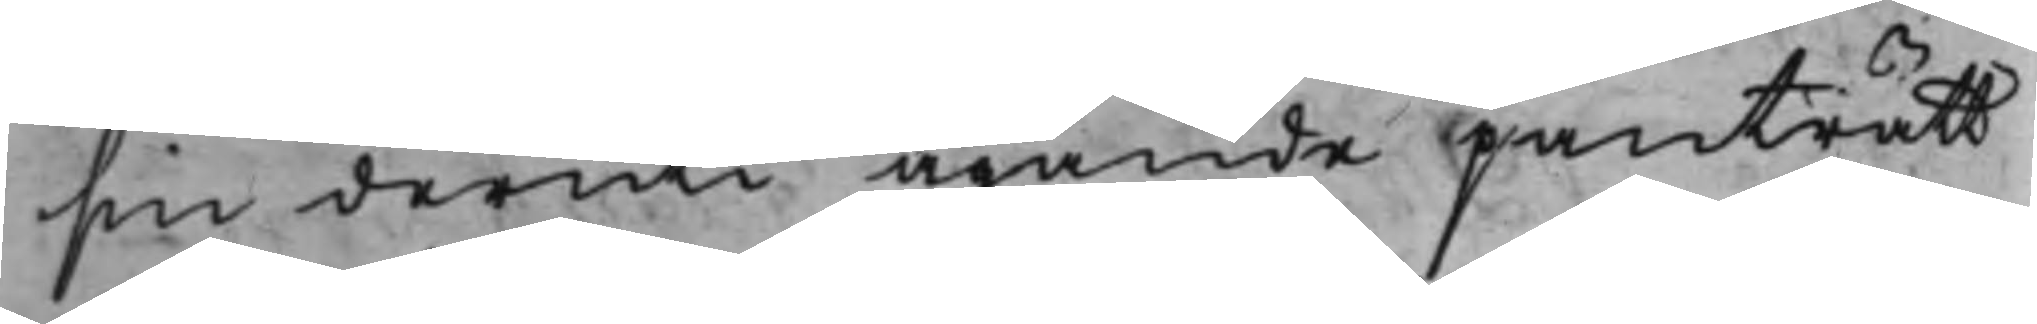sin deruti ägande panträtt
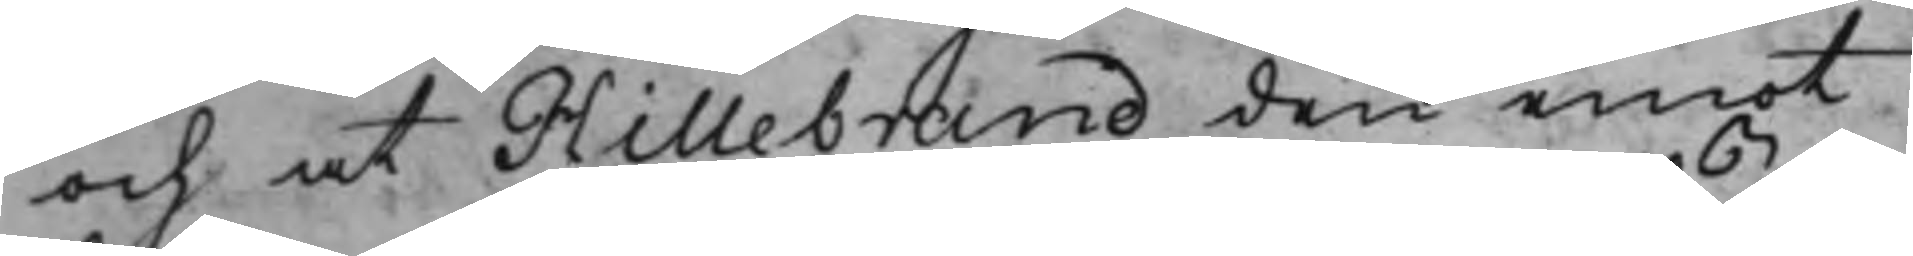och at Hillebrand den emot
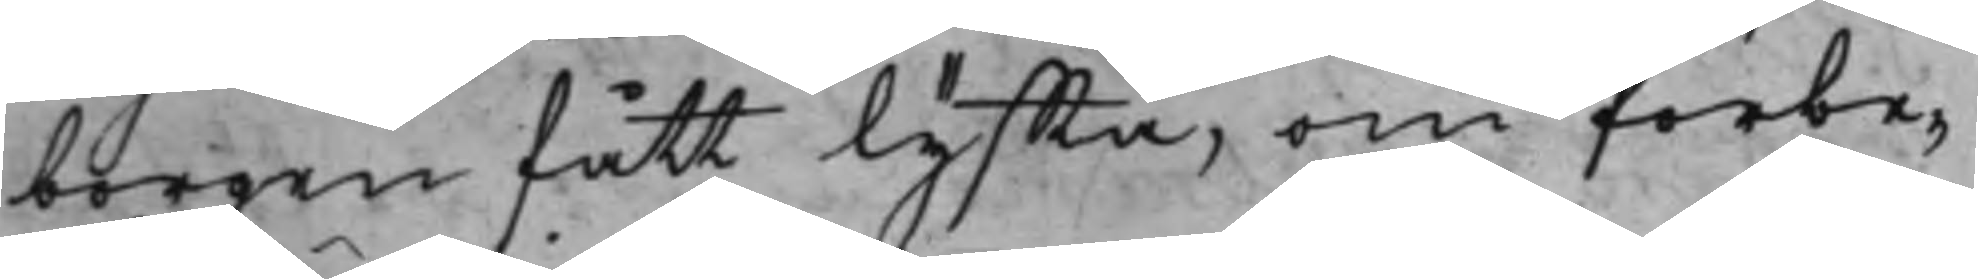borgen fått lyffta, om förbe¬
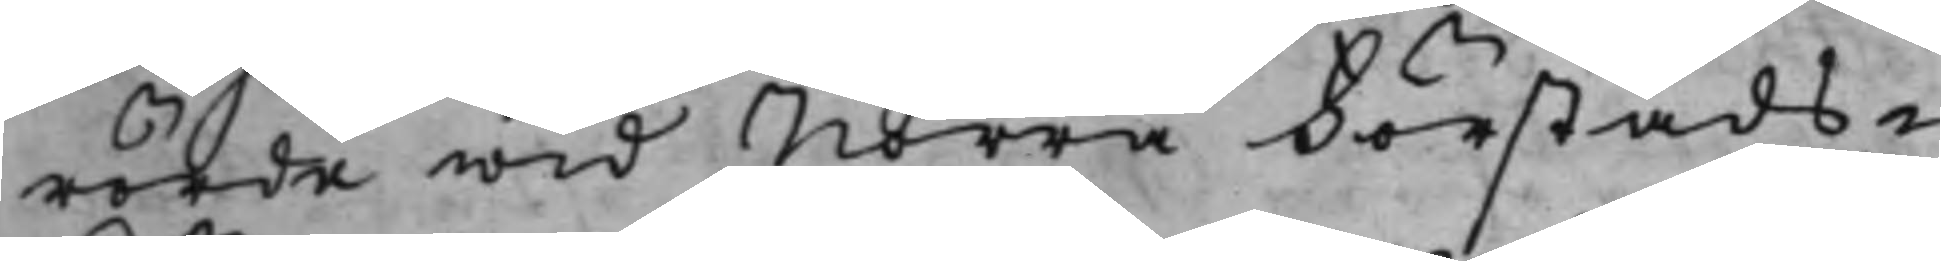rörde wid Norra Förstads¬
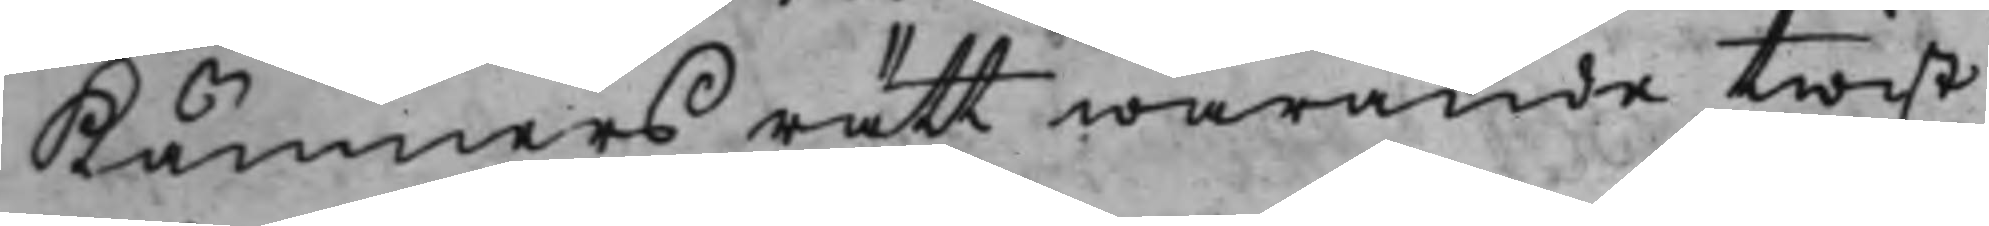Kämnersrätt warande twist
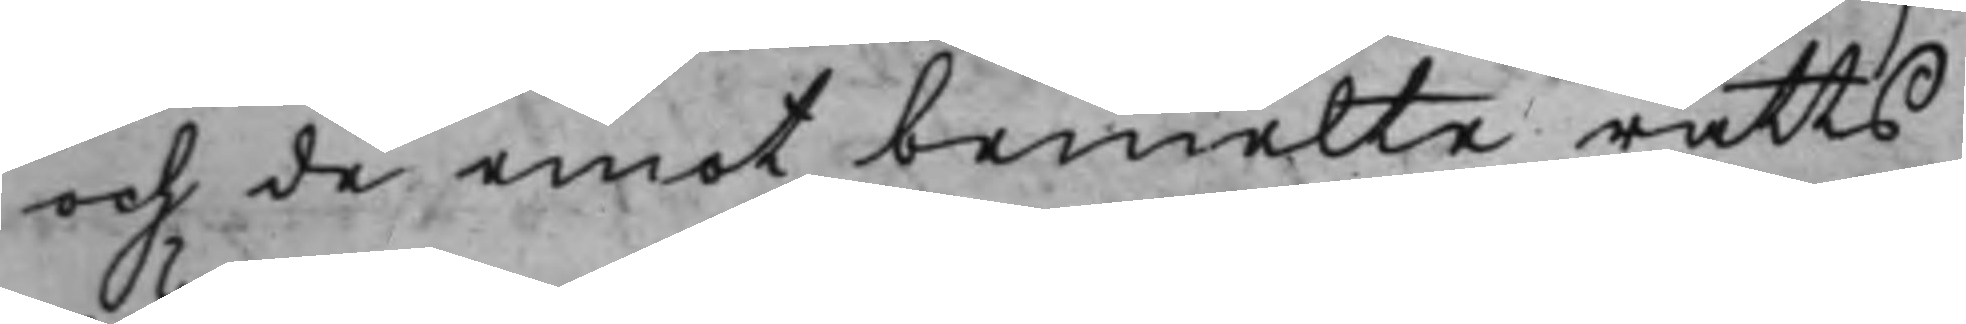och de emot bemelte rätts
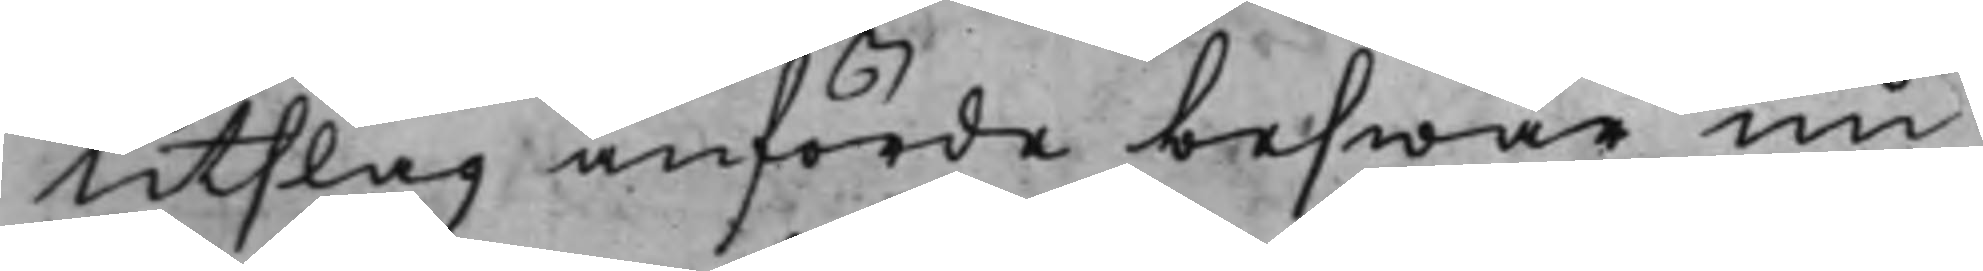Utslag anförde beswär nu
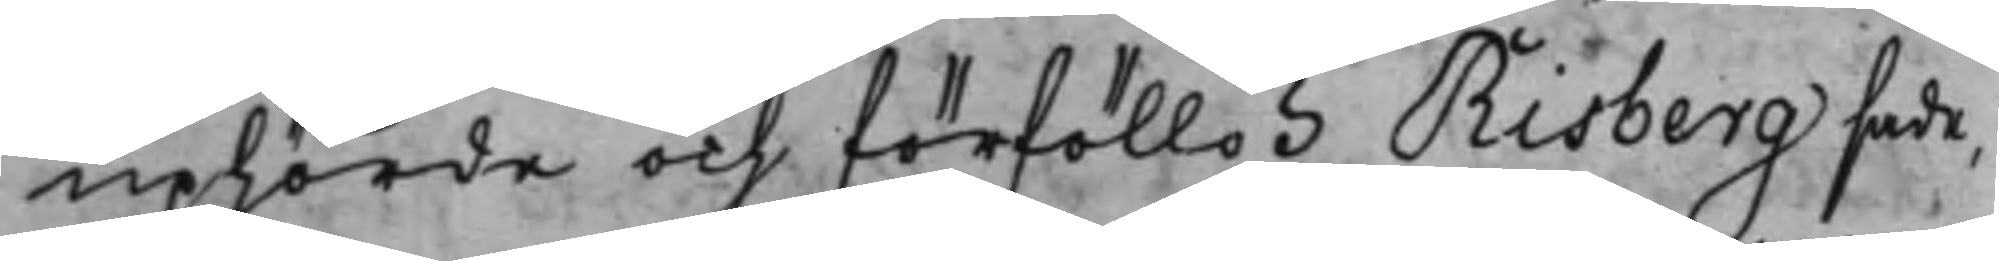uphörde och förföllo. Risberg sade,
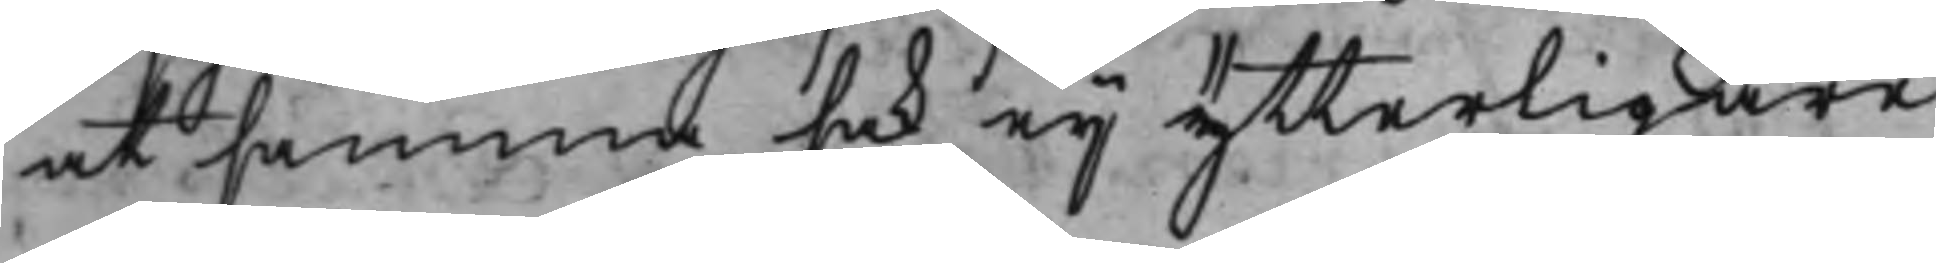at samma, sak eij ytterligare
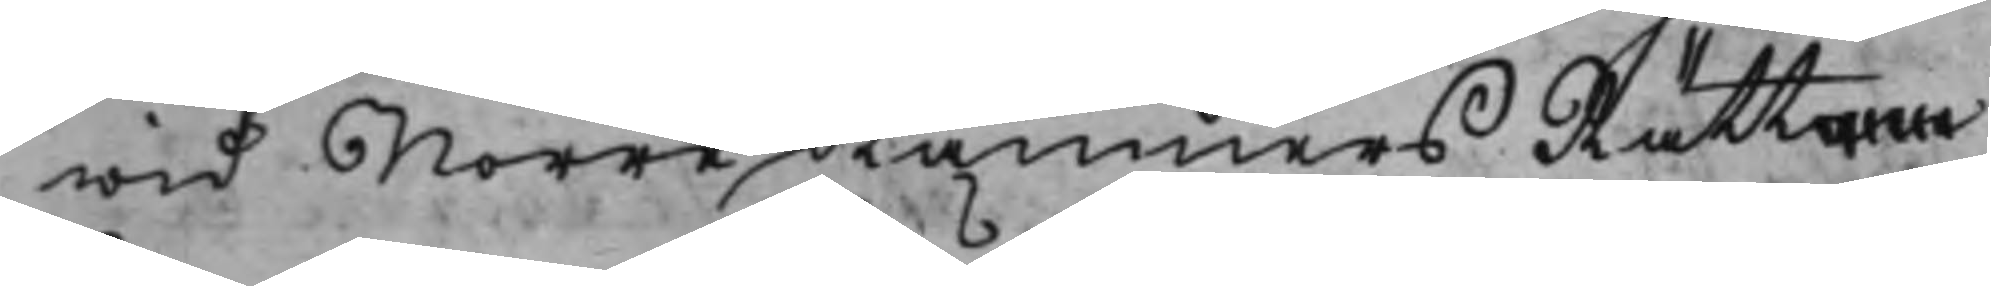wid Norre KämnersRätten
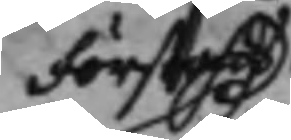Förstads
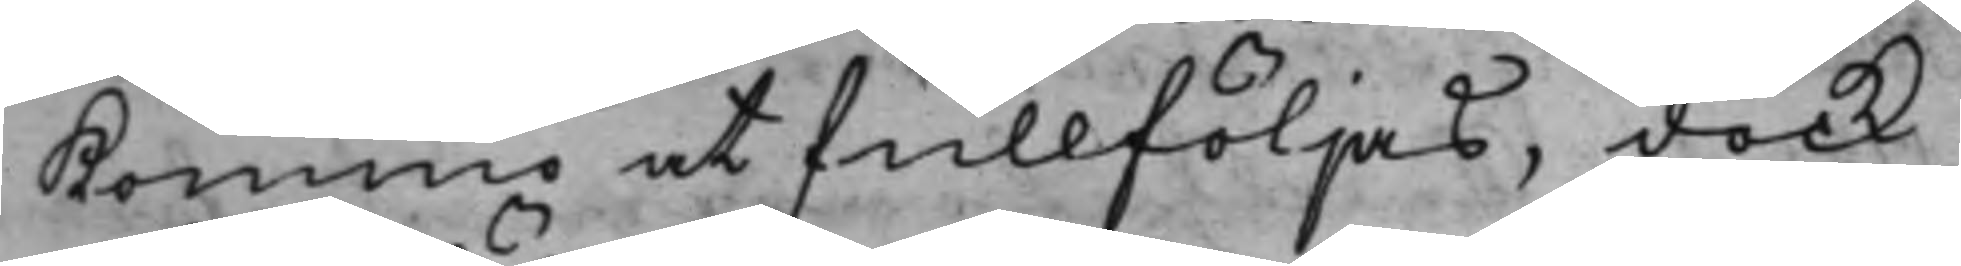Kommo at fullföljas, dock
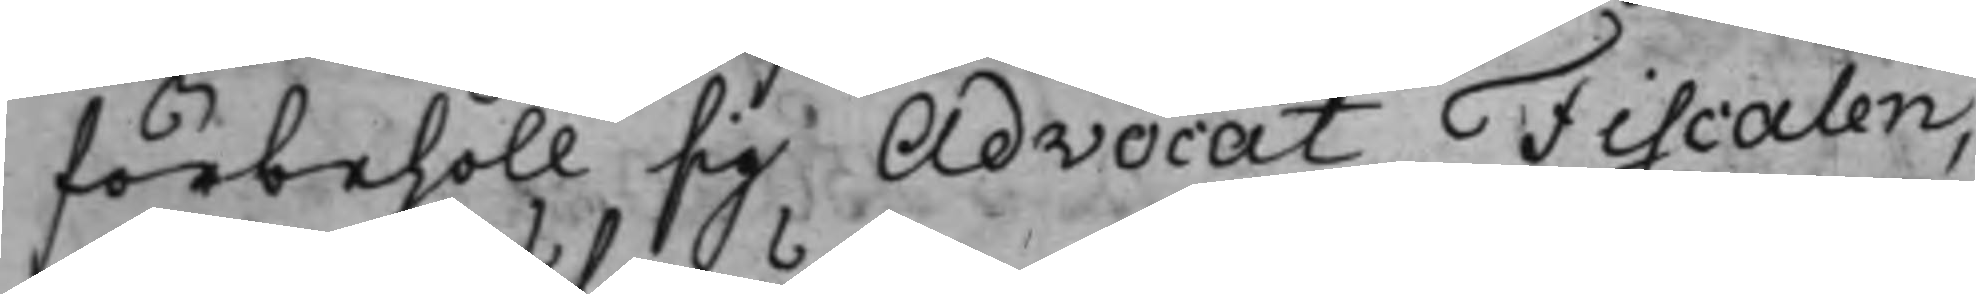förbehöll sig Advocat Fiscalen,
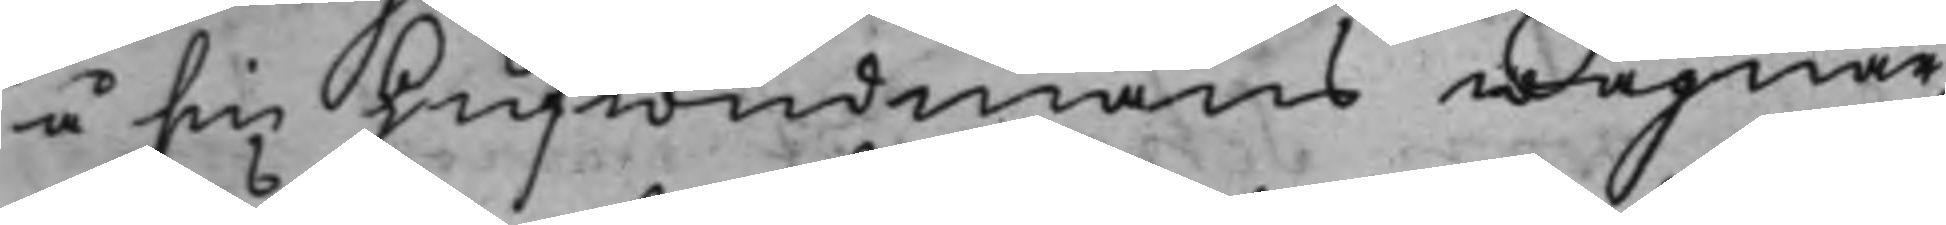å sin Hufwudmans wägnar,
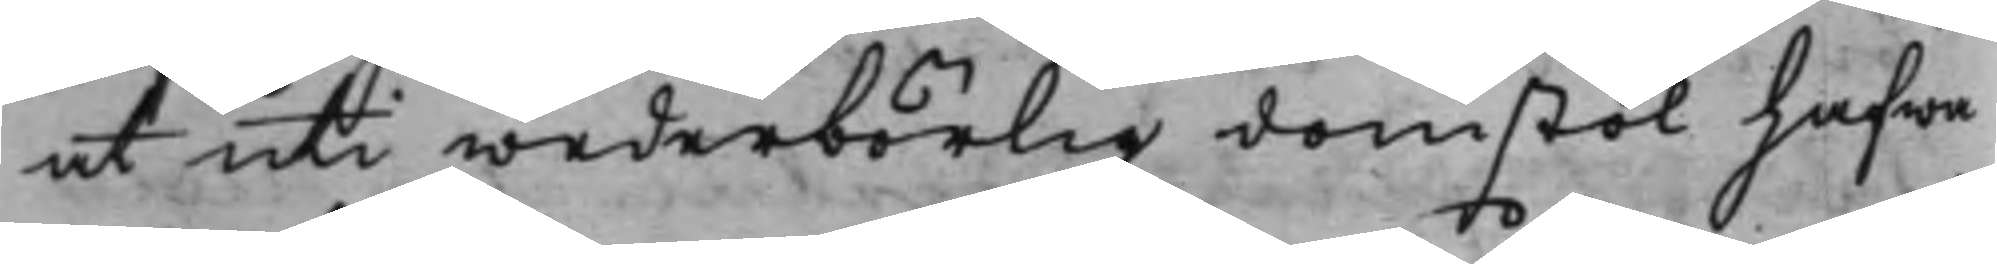at uti wederbörlig domstol hafwa
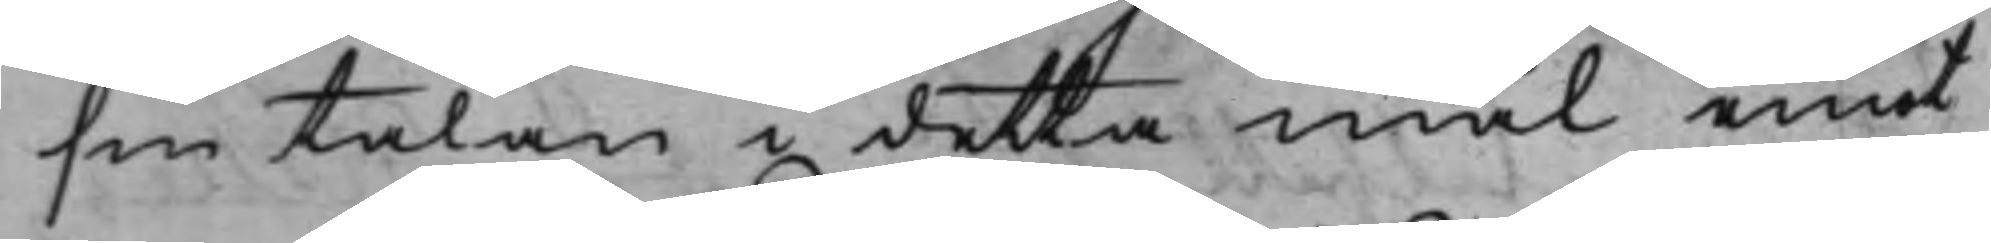sin talan i detta mål emot
